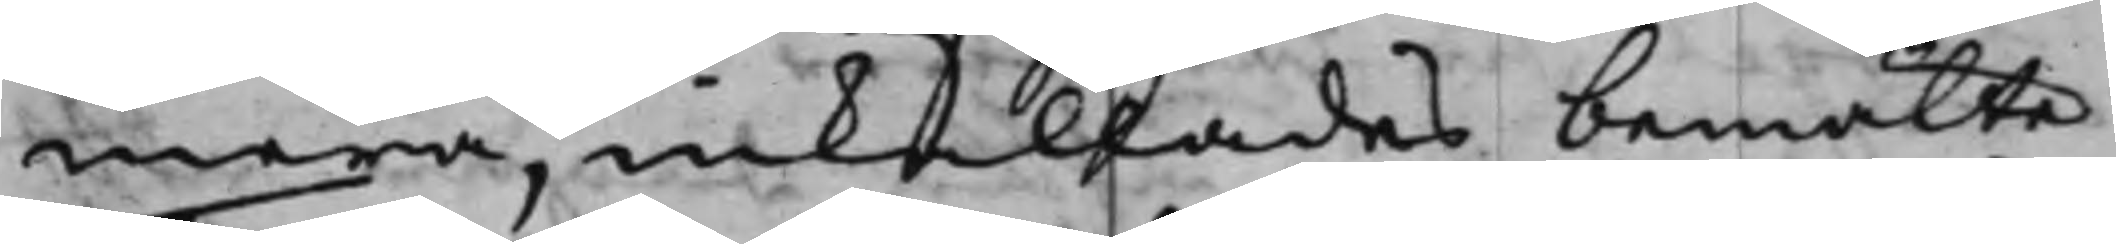mera, inkallades bemälte
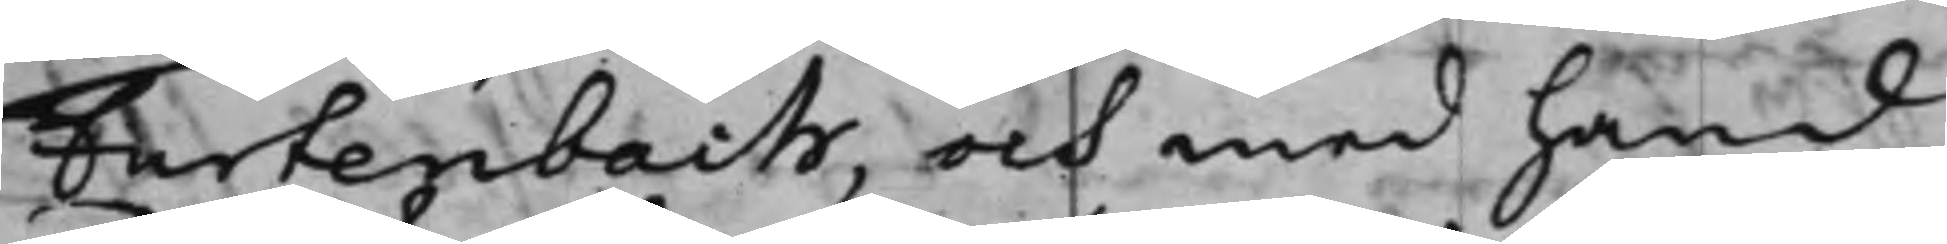Furtenbach, och med hand
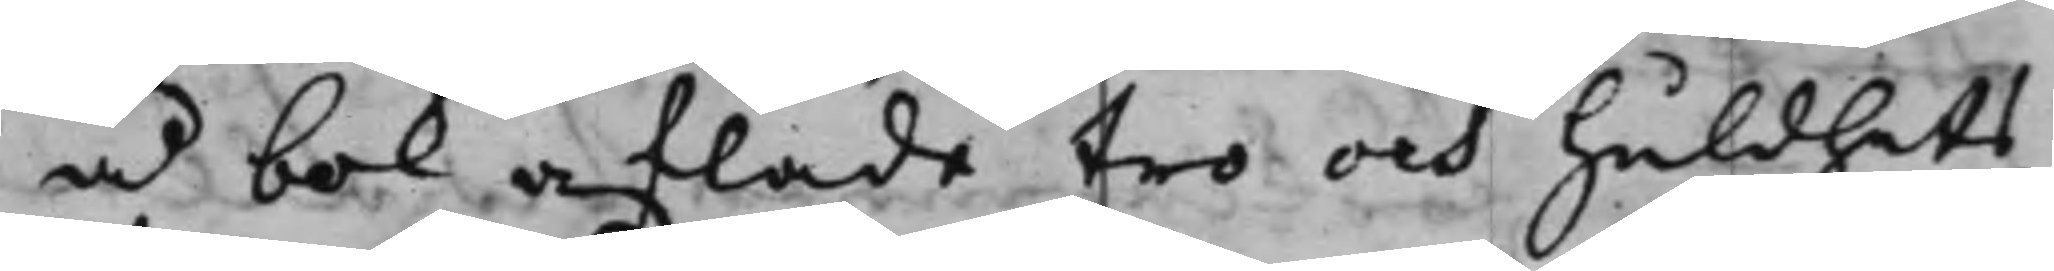å bok aflade tro och huldhets,
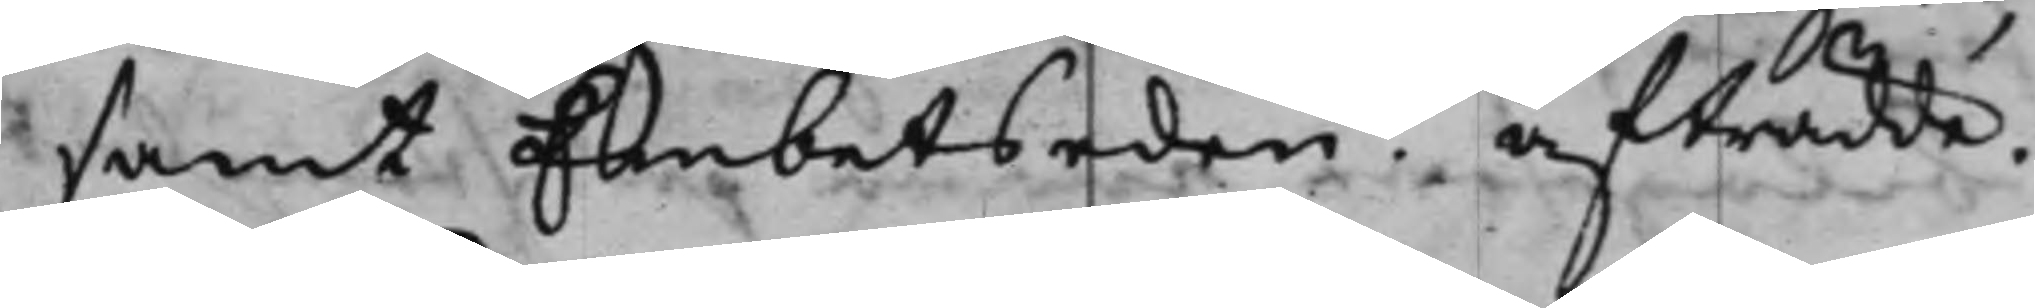samt Embetseden. Afträdde.
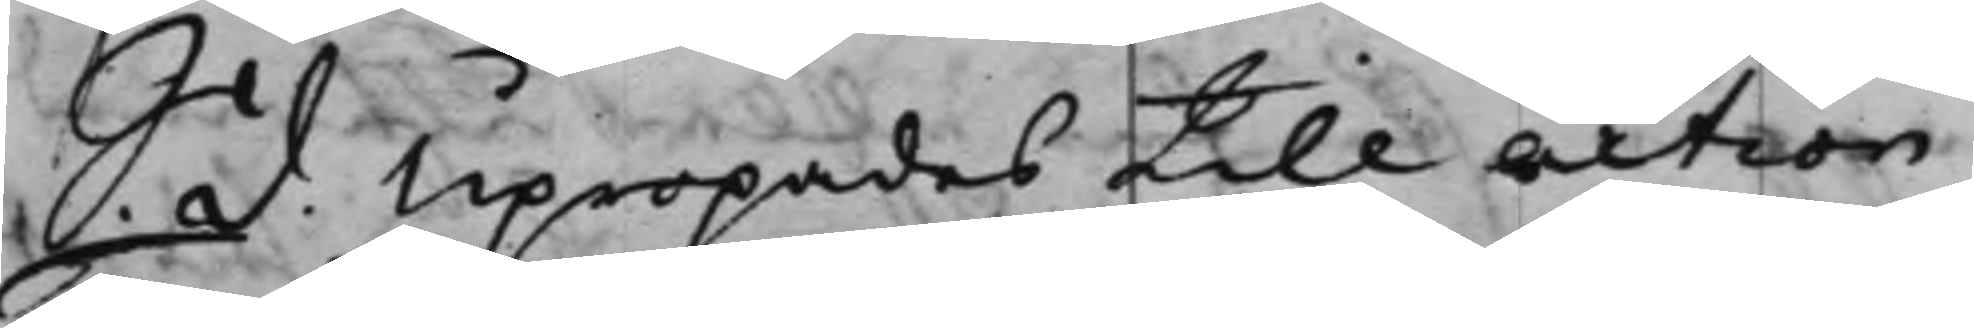S. d. Upropades till action
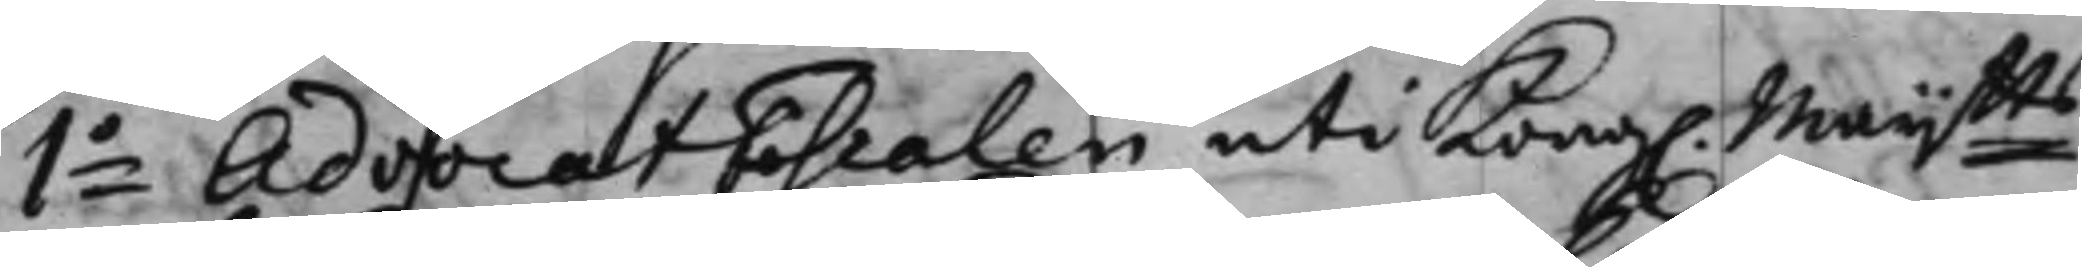1o AdvocatFiscalen uti Kong. Maijtts
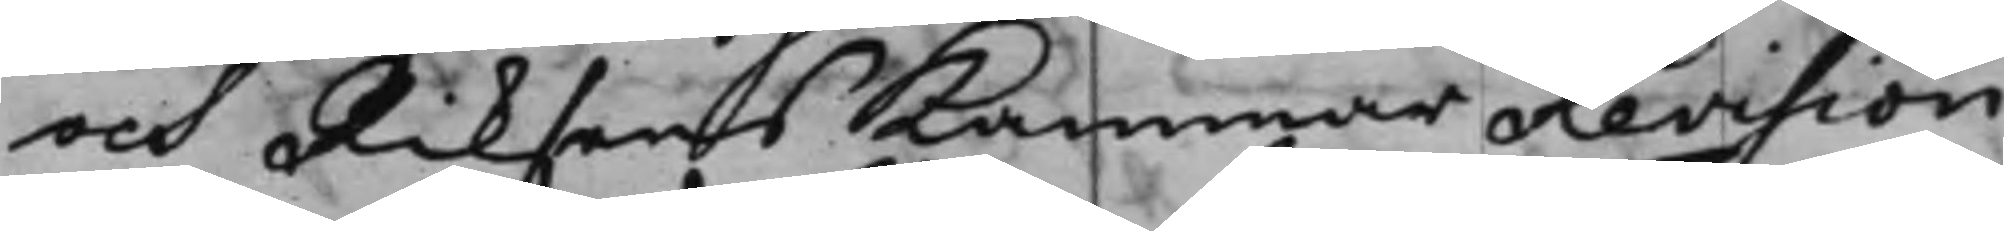och Riksens KammarRevision
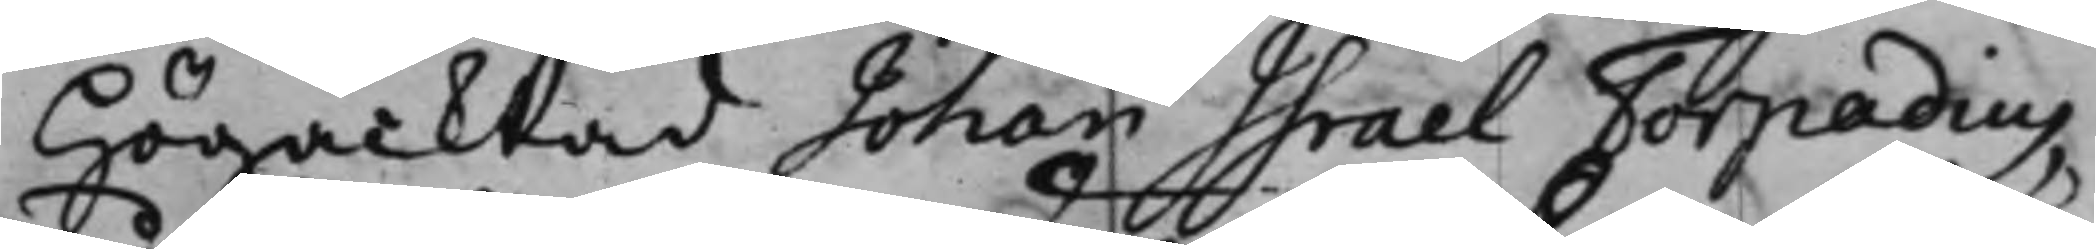Högacktad Johan Israel Torpadius,
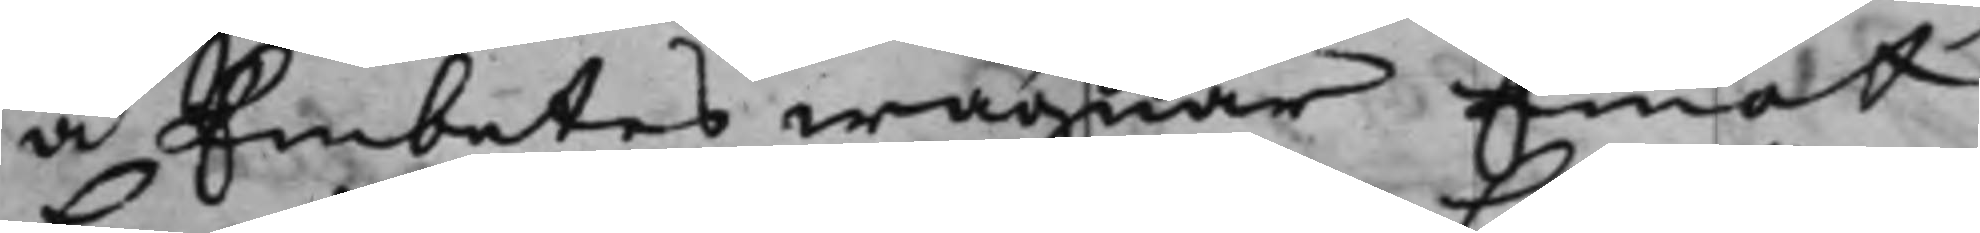å Embetes wägnar Emot
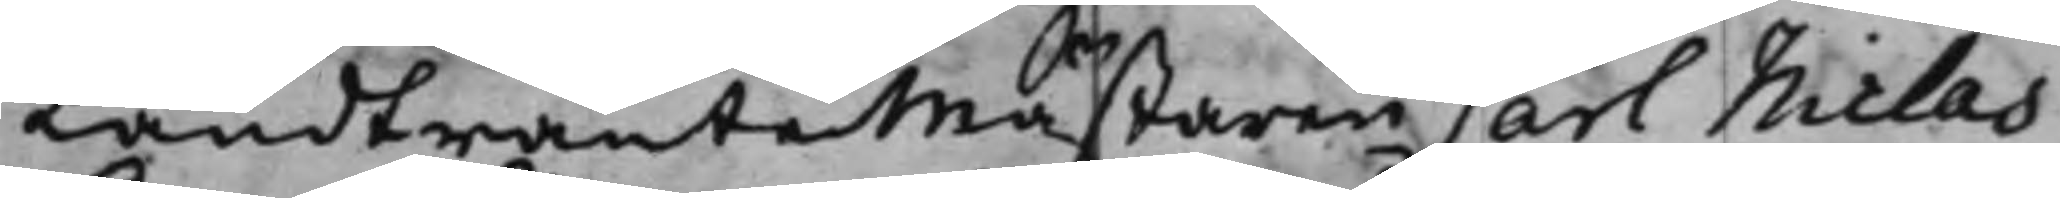LandtränteMästaren Carl Niclas
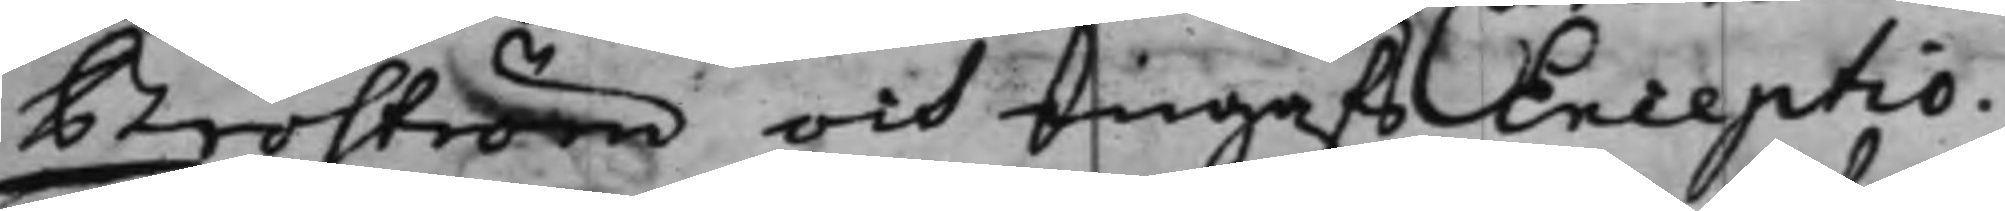Broström och ingafs Exceptio.
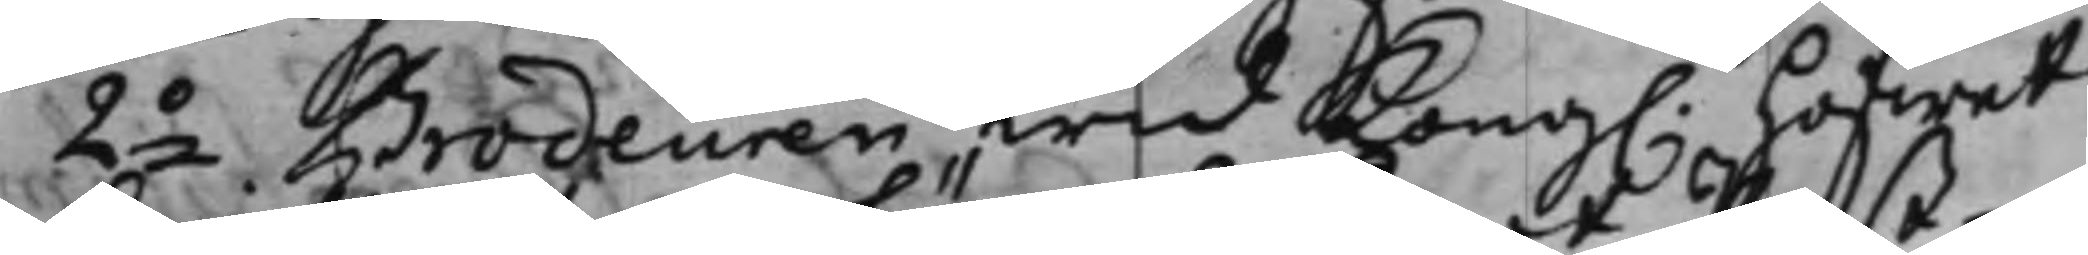2o Brodeuren wid Kong. hofwet
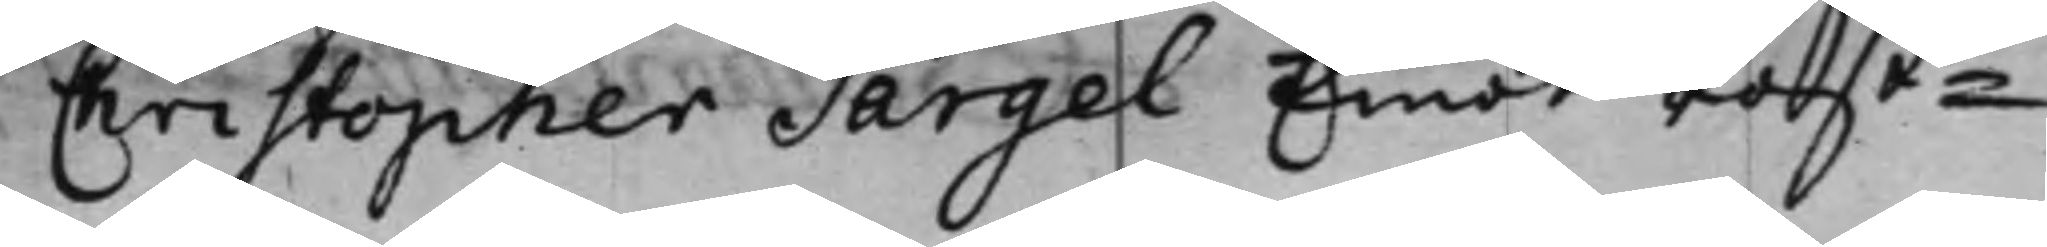Christopher Särgel Emot Post¬
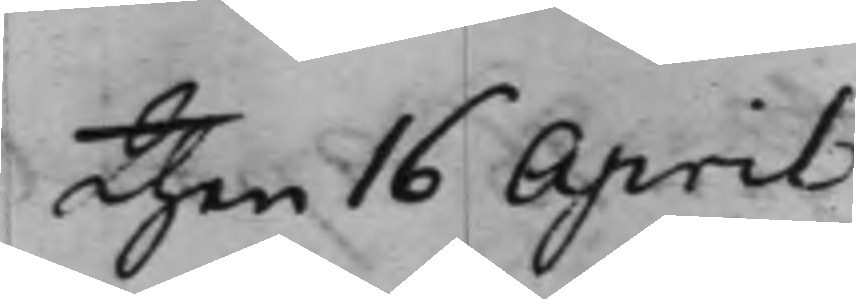Then 16 April
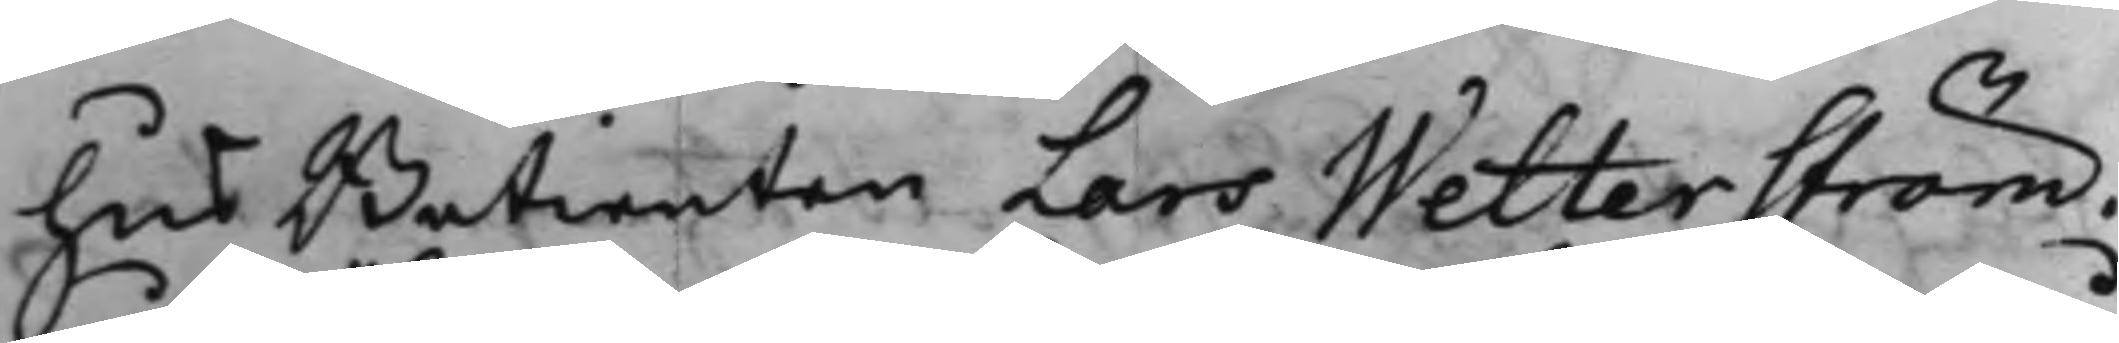hus Betienten Lars Wetterström.
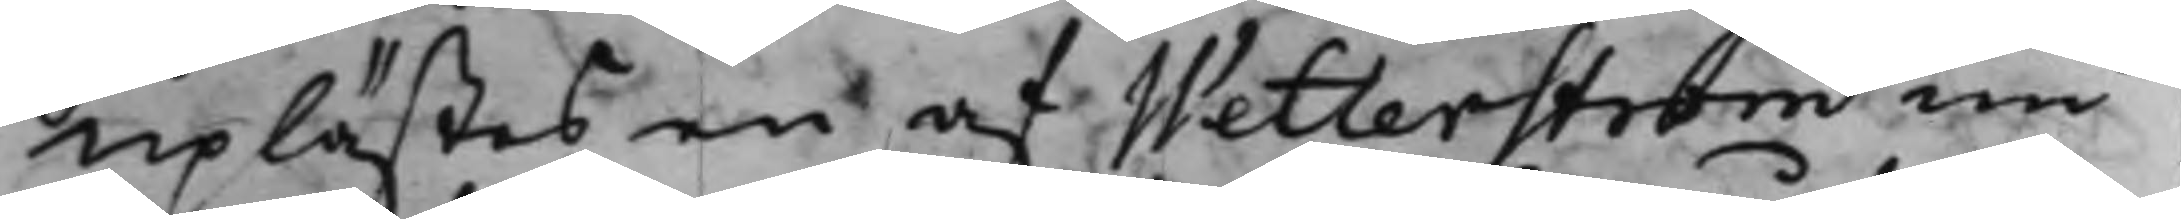uplästes en af Wetterström nu
